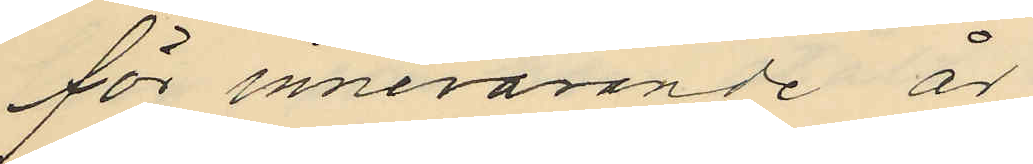för innevarande år
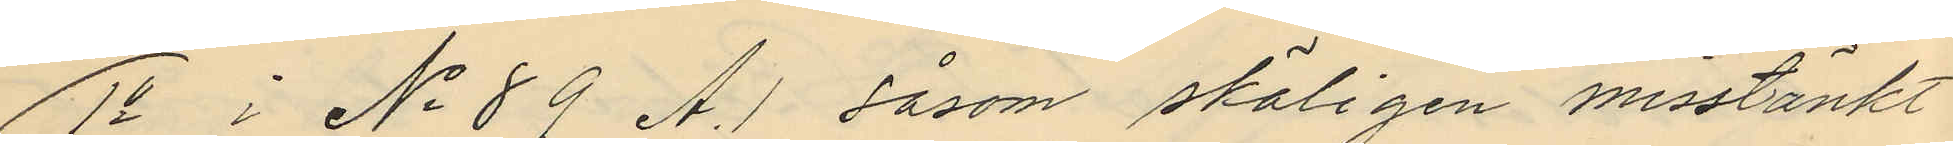1o i No 89 A.1 såsom skäligen misstänkt
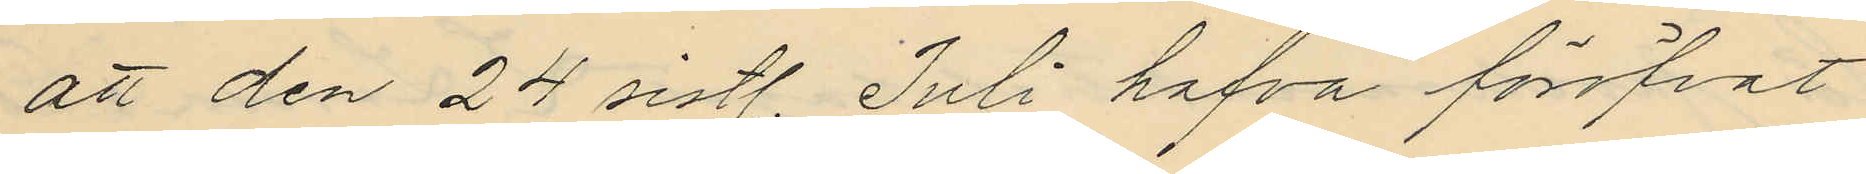att den 24 sistl. Juli hafva föröfvat
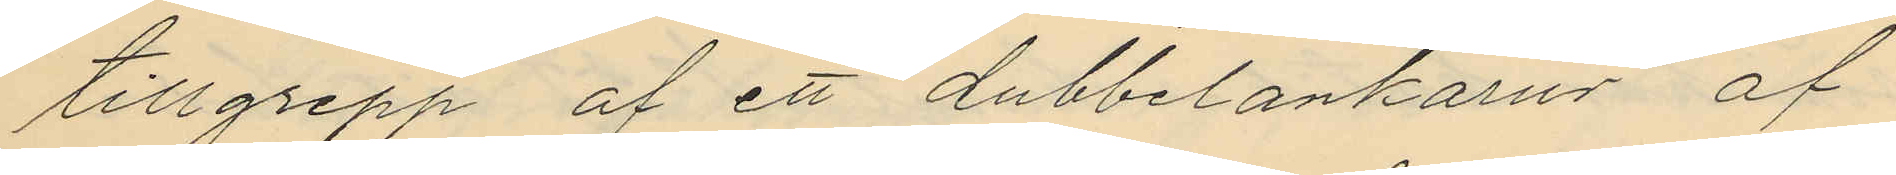tillgrepp af ett dubbelankarur af
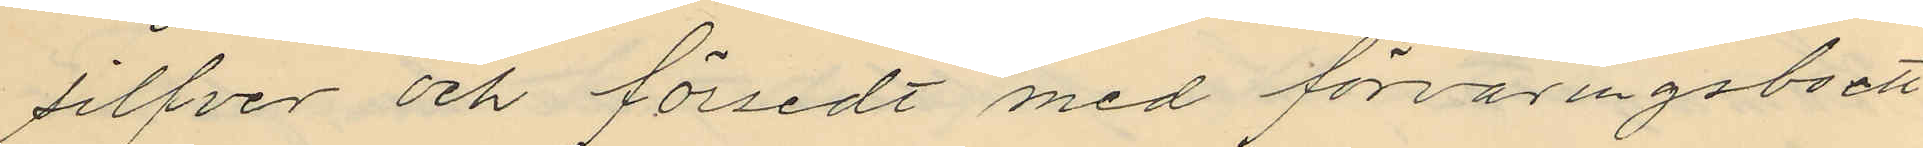silfver och försedt med förvaringsboett
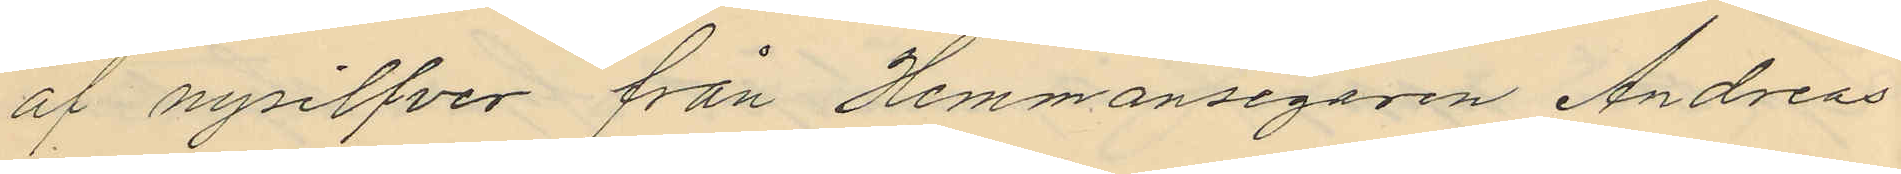af nysilfver från Hemmansegaren Andreas
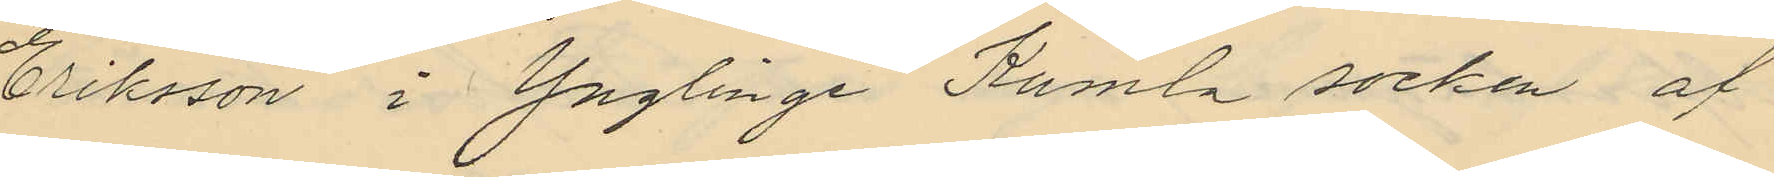Eriksson i Ynglinge Kumla socken af
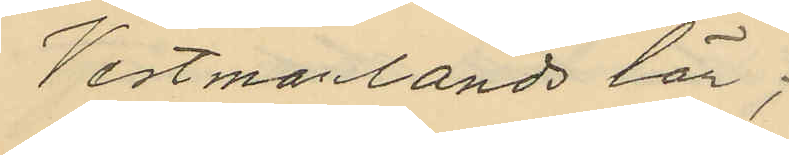Vestmanlands län;
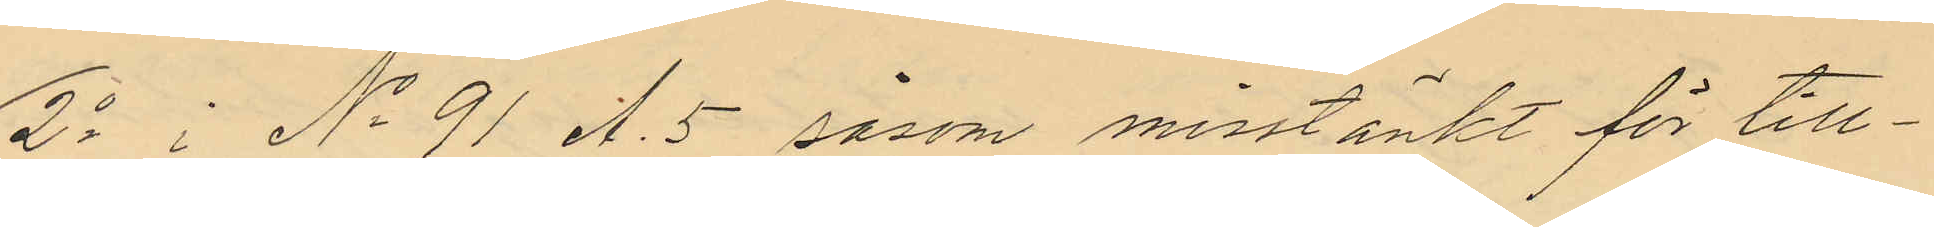2o i No 91 A.5 såsom misstänkt för till¬
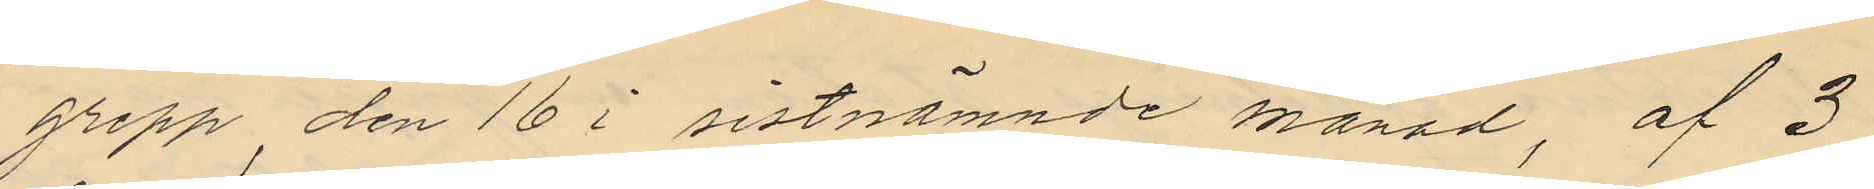grepp den 16 i sistnämnde månad, af 3
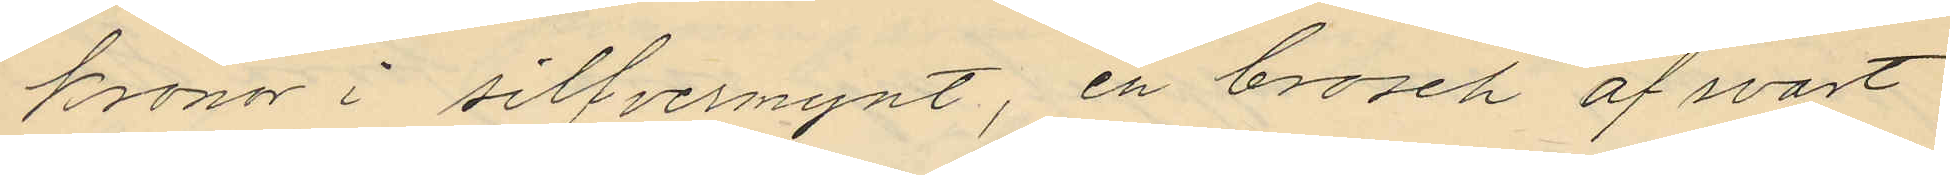kronor i silfvermynt, en brosch af svart
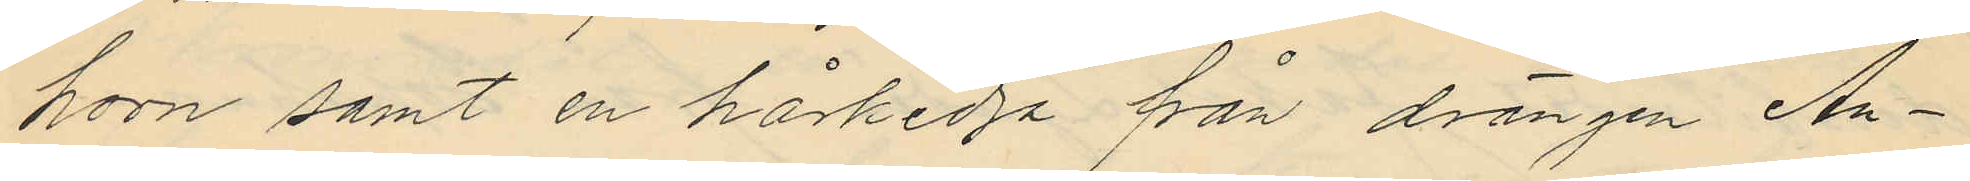horn samt en hårkedja från drängen An¬
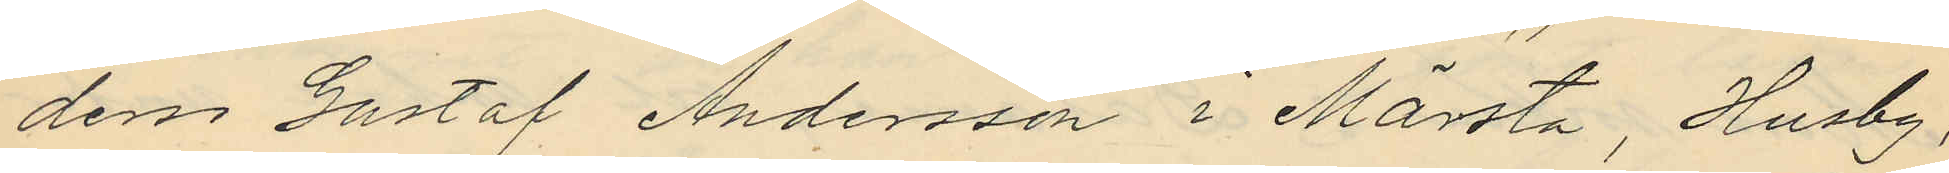ders Gustaf Andersson i Märsta, Husby,
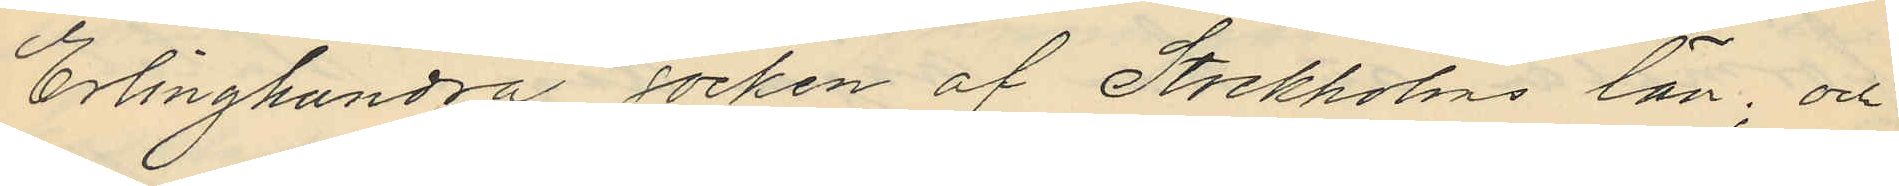Erlinghundra socken af Stockholms län; och
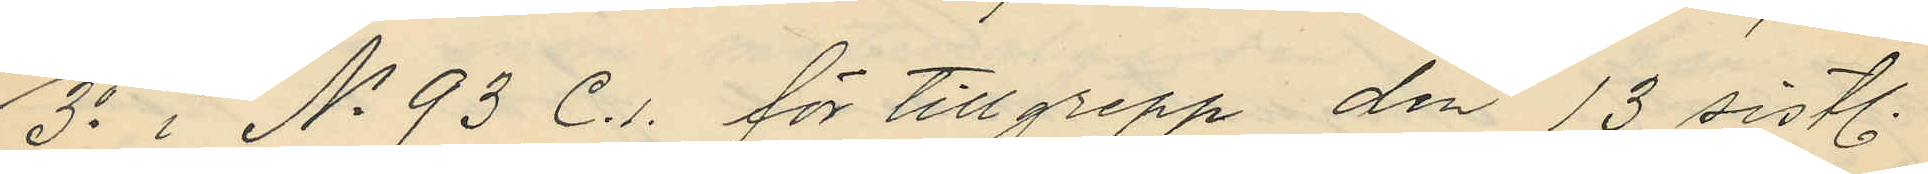3o i No 93 C.1. för tillgrepp den 13 sistl.
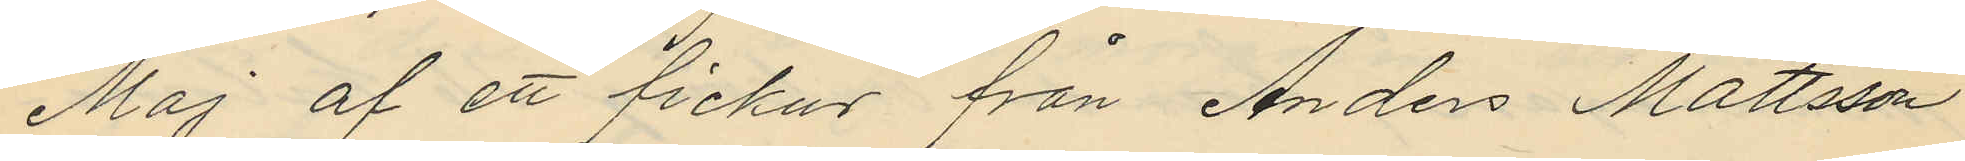Maj af ett fickur från Anders Mattsson
